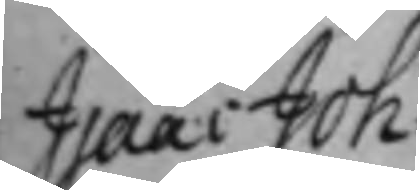Isaac Joh:
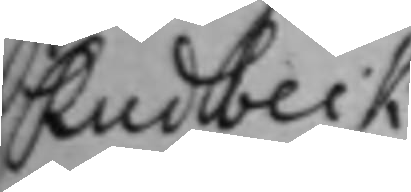Rudbeck
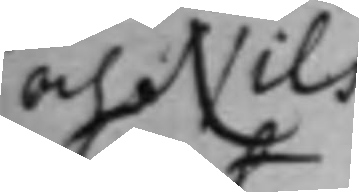och Nils
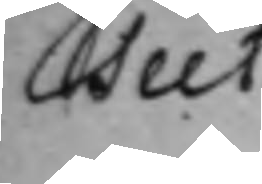Teet.
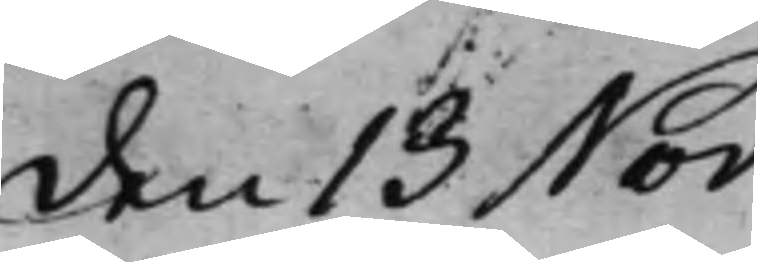den 13 Nov:
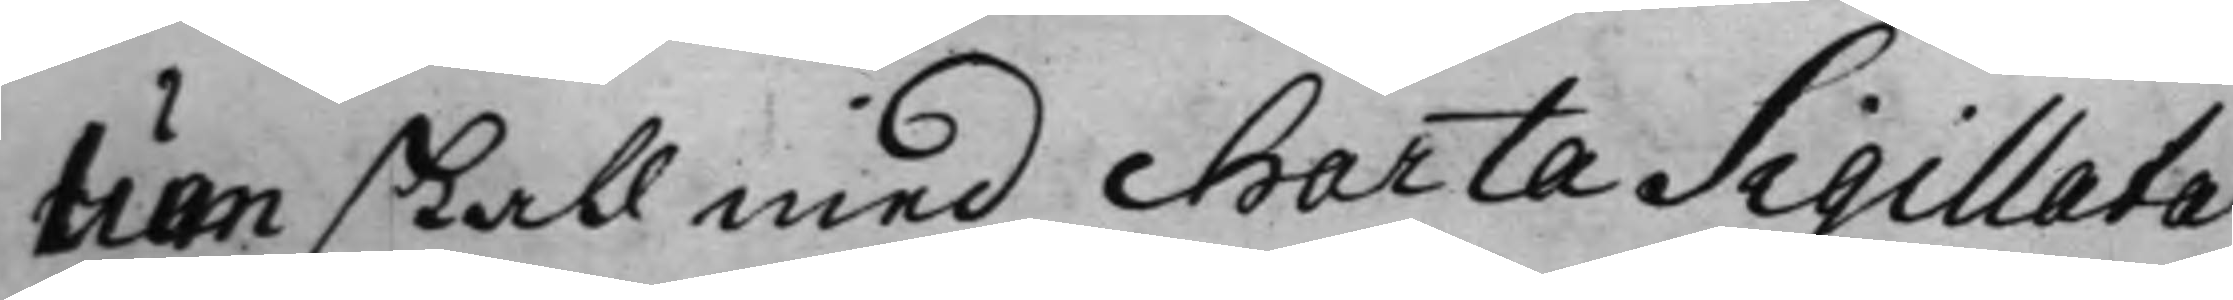lum skall med charta Sigillata
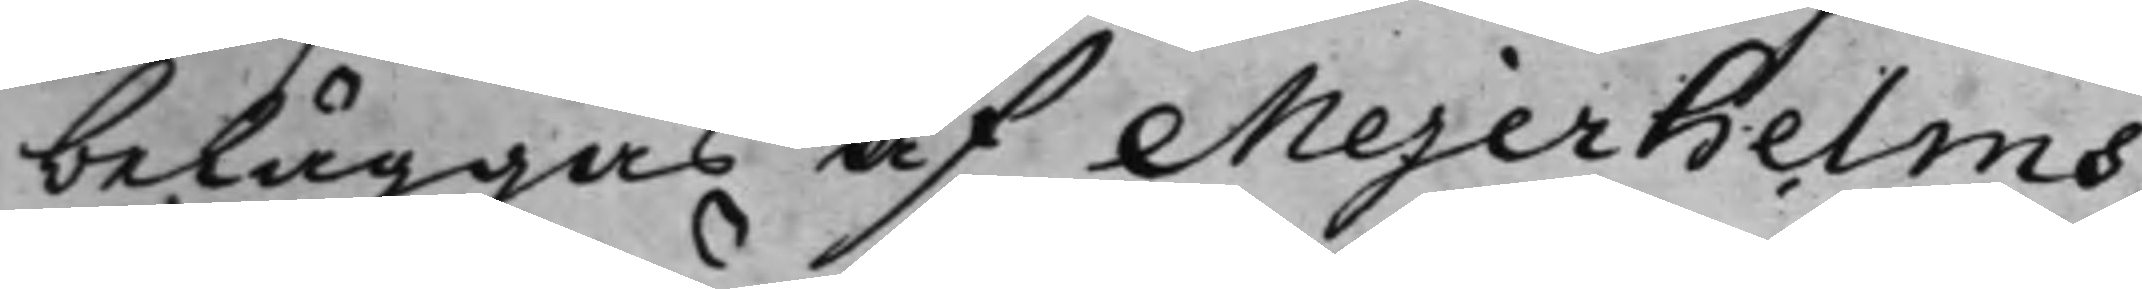beläggas af Mejerhelms
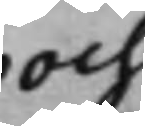och
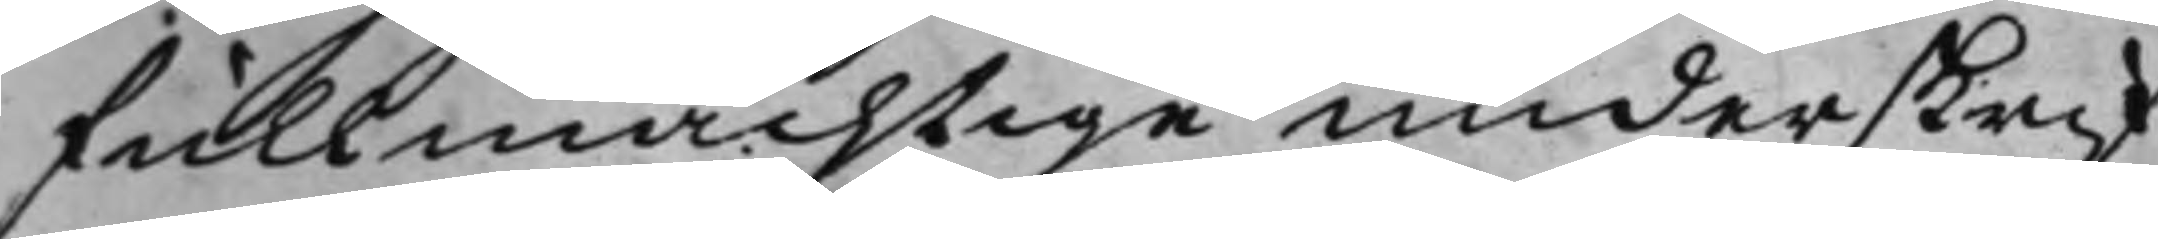fullmächtige underskrif¬
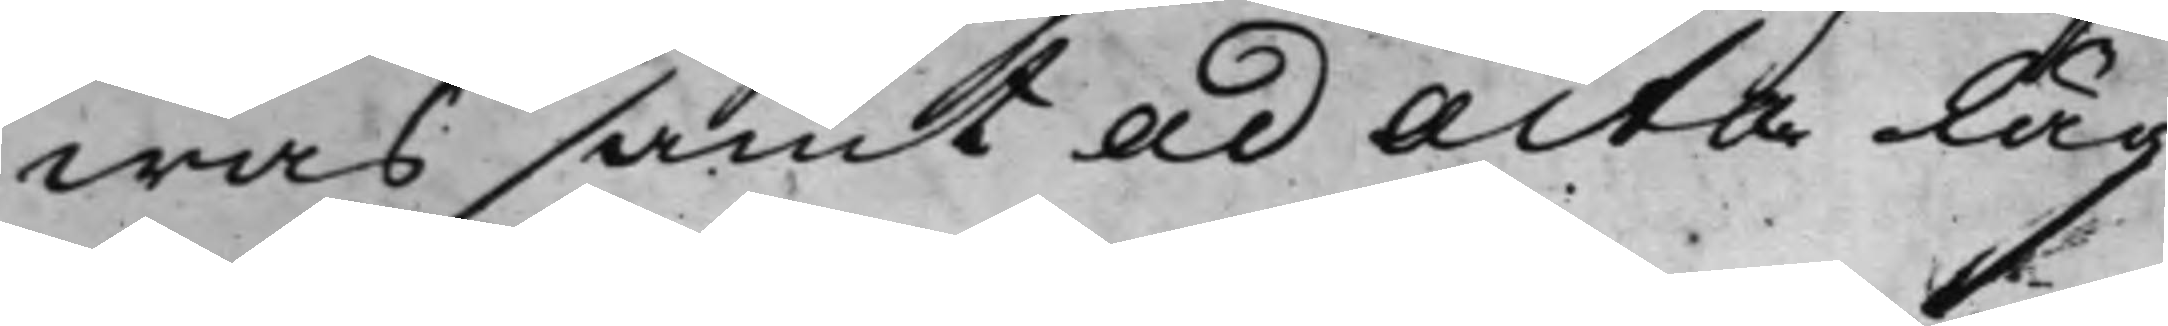was samt ad acta läg¬
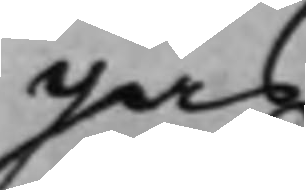gas.
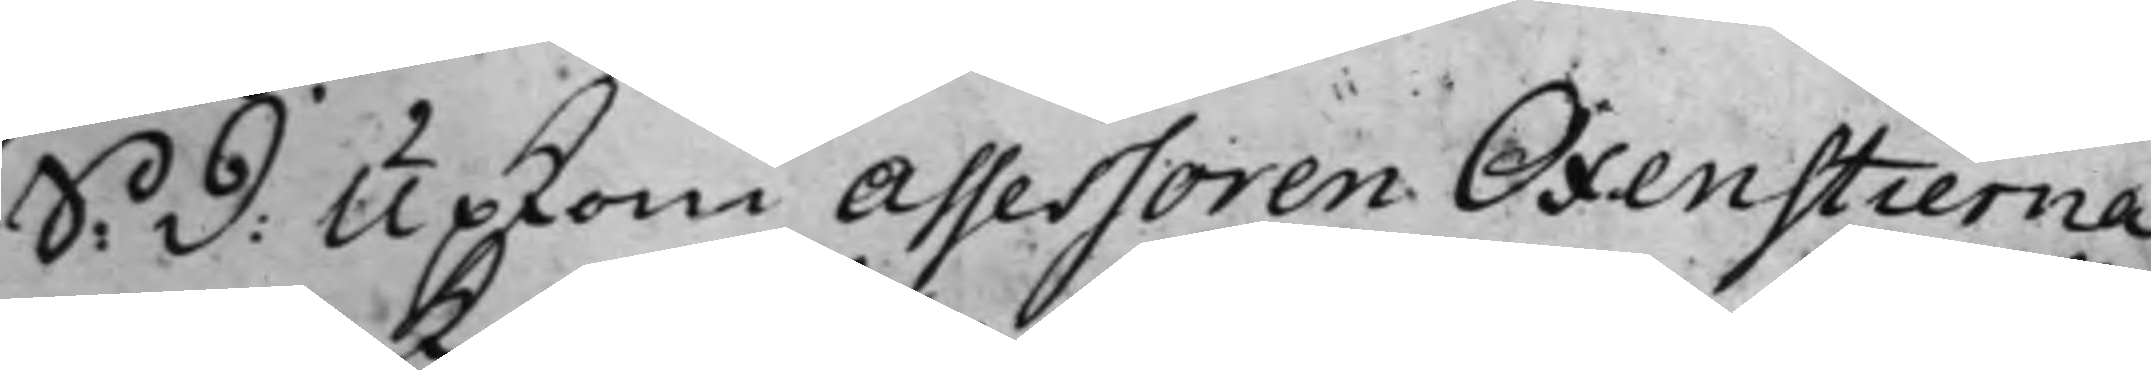S: d: Upkom Assessoren Oxenstierna
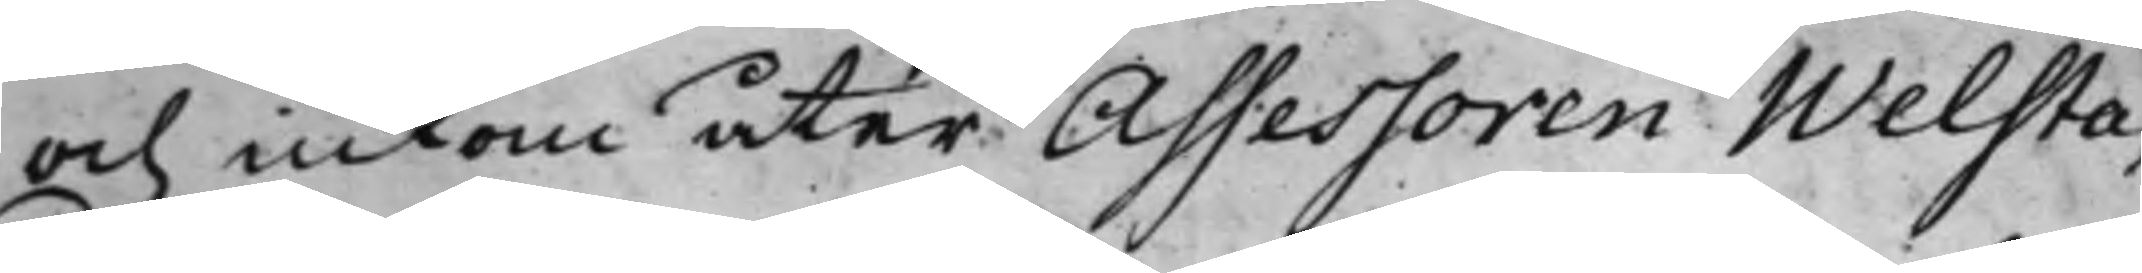och inkom åter Assessoren Welsta¬
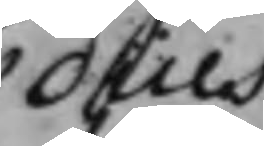dius
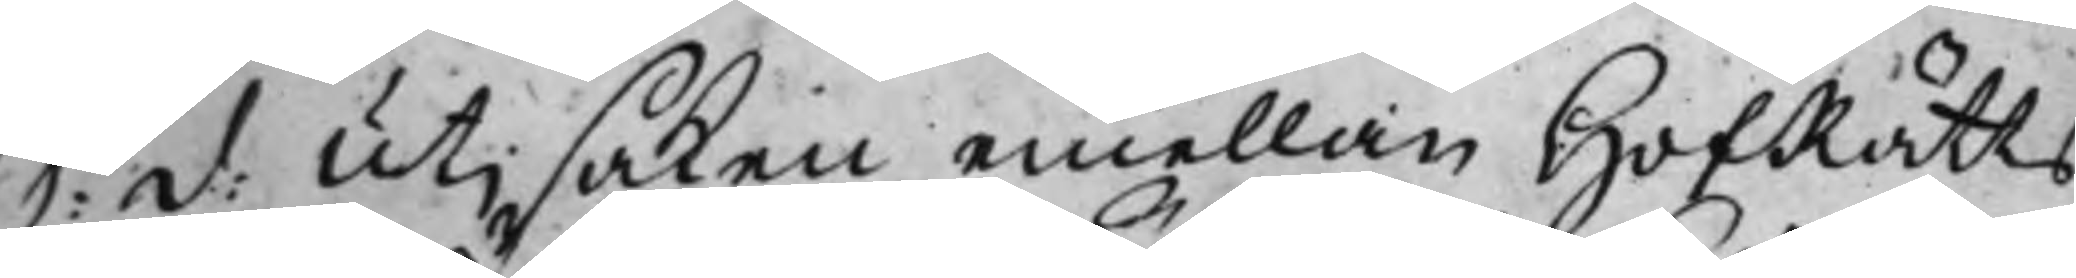S: d: Utj saken emellan HofRätts¬
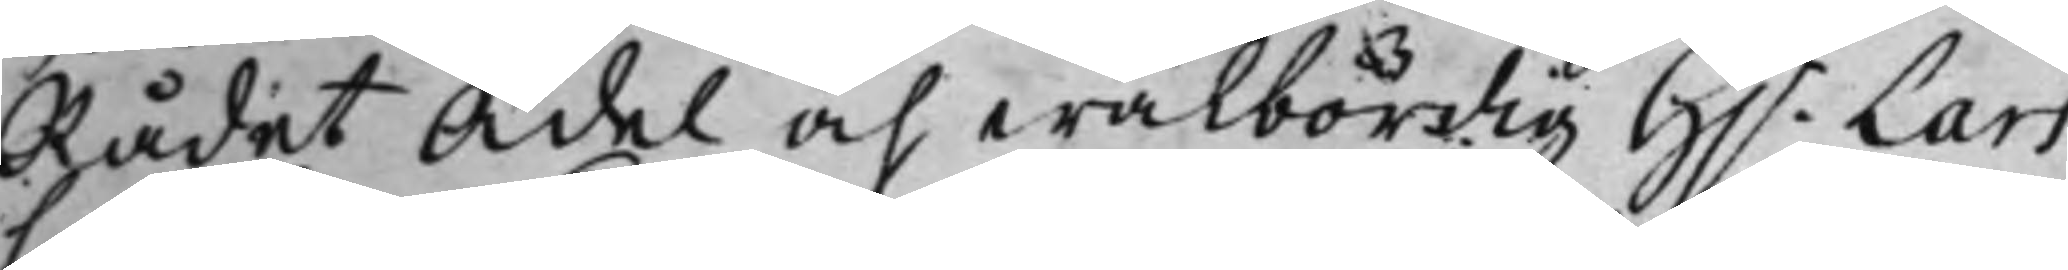Rådet Ädel och wälbördig H.r Lars
